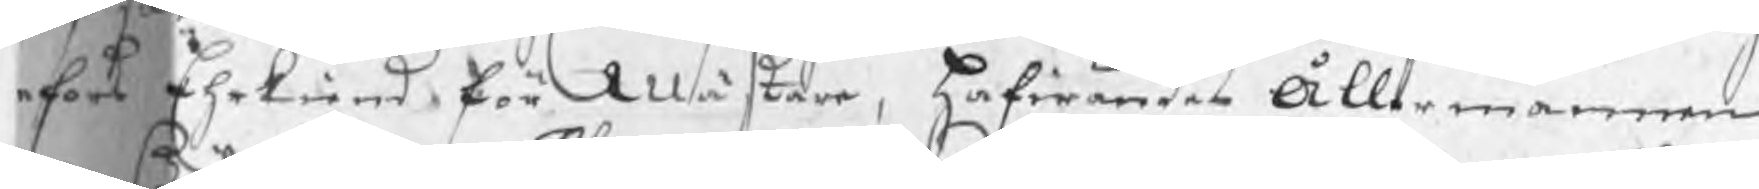fors Ehrkiend för Mästare, hafwandes Ållermannen
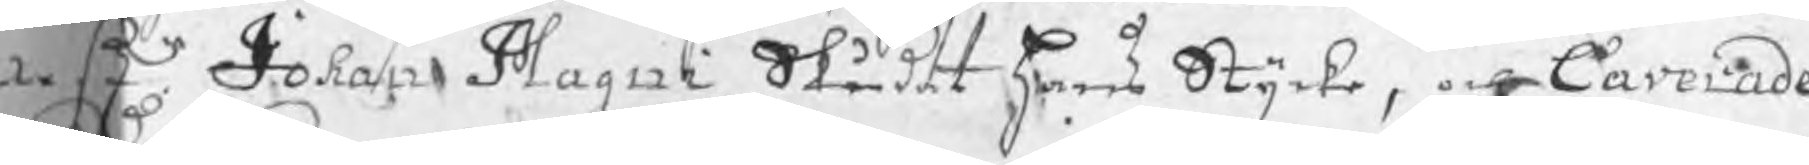mestr Johan Magni Skådat hans Stycke, och larerade
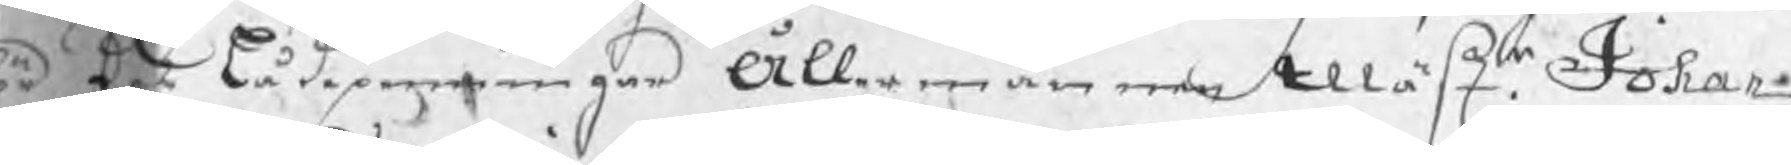ör des lådepenningar Ållermannen Mästr Johan
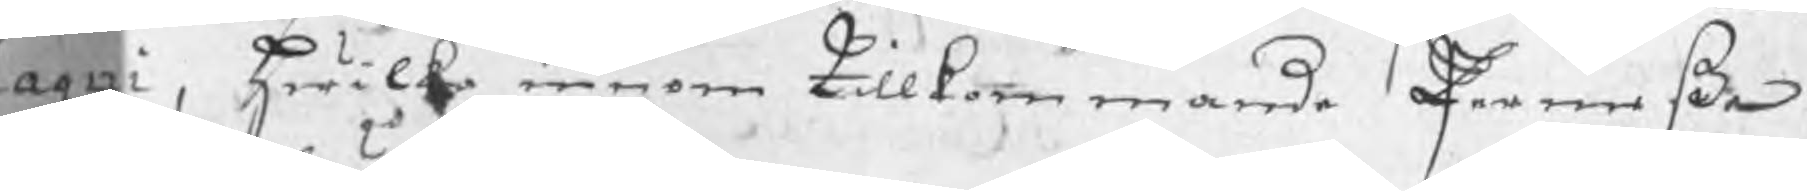Magni, hwilka innom tillkommande Permeßa
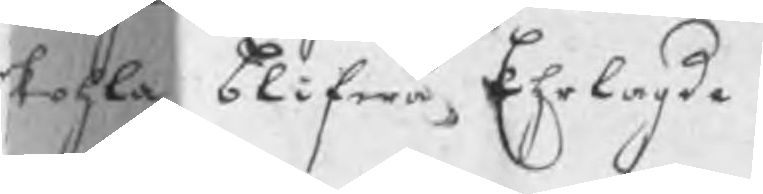kohla blifwa Ehrlagde.
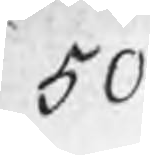50
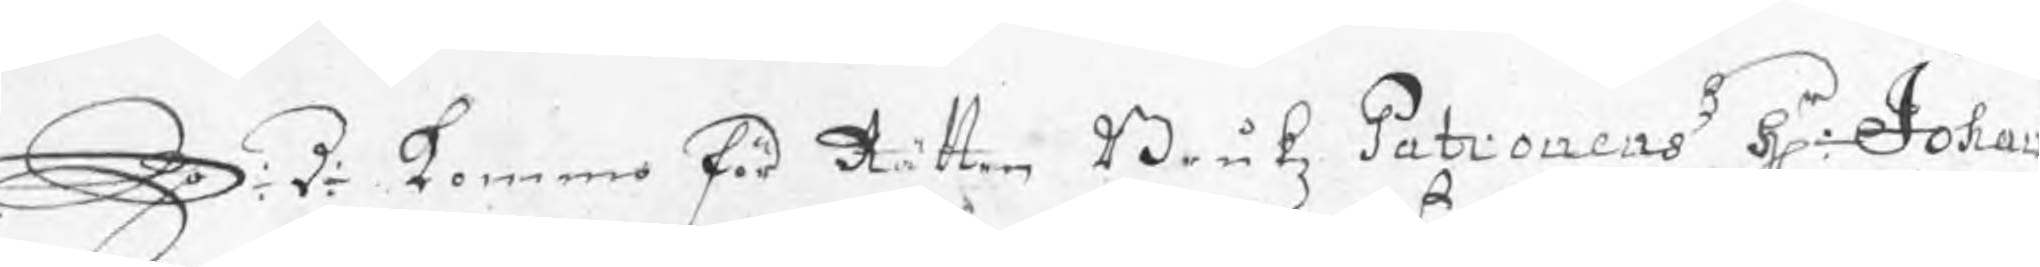S: d: kommo för Rätten Brukz Patronens Hr: Johan
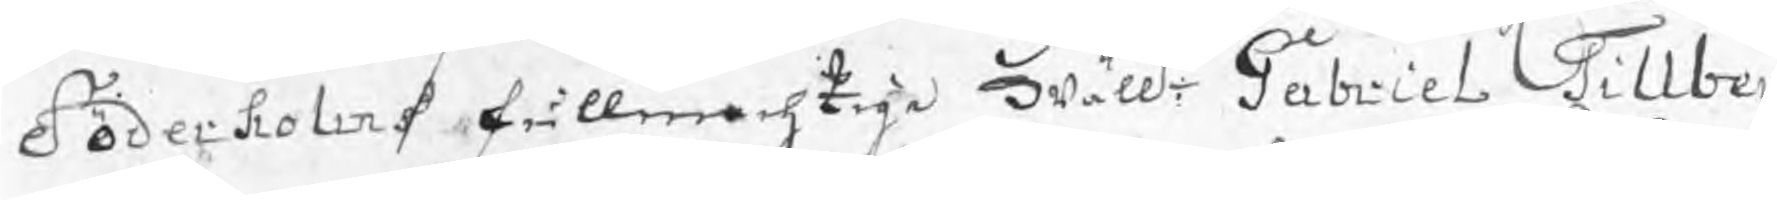Söderholms fullmachtige wälle: Gabriel Tillber
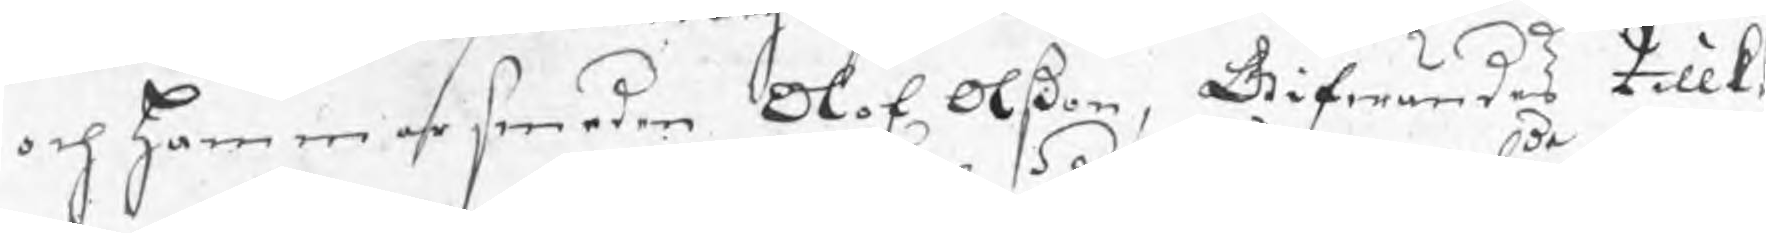och hammarsmeden Olof Olßon, Gifwandes tillk
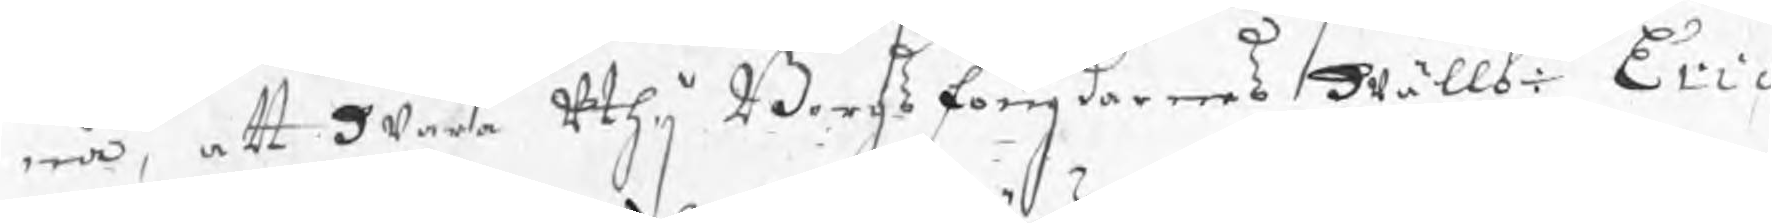na, att wara uthij Bergsfougdarnes wällbde Eric 
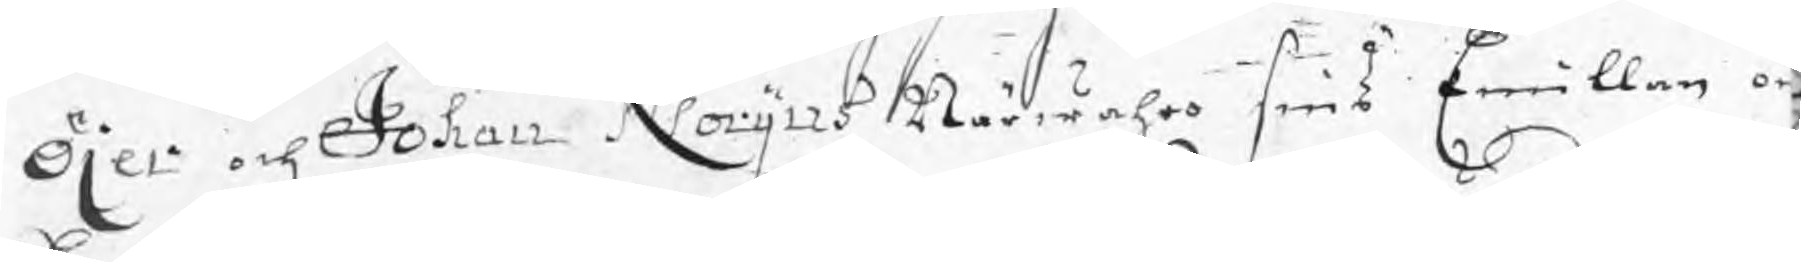Öjer och Johan Norijns Närwahro sins Emillan o
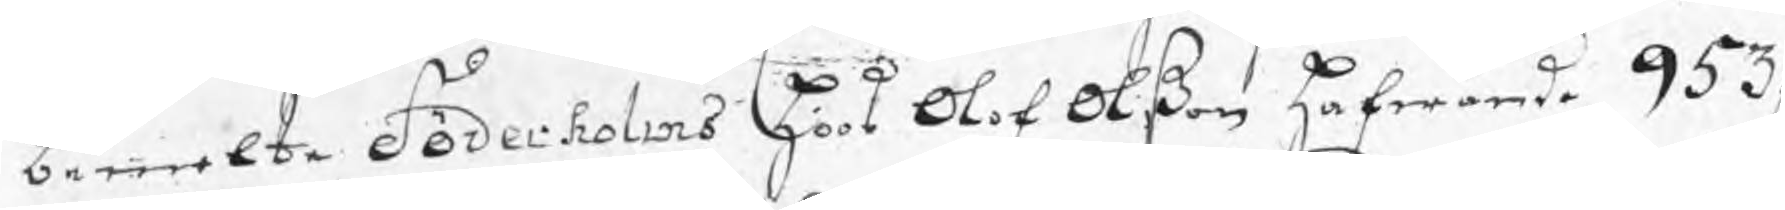bemelte Söderholms hoos Olof Olßon hafwande 953
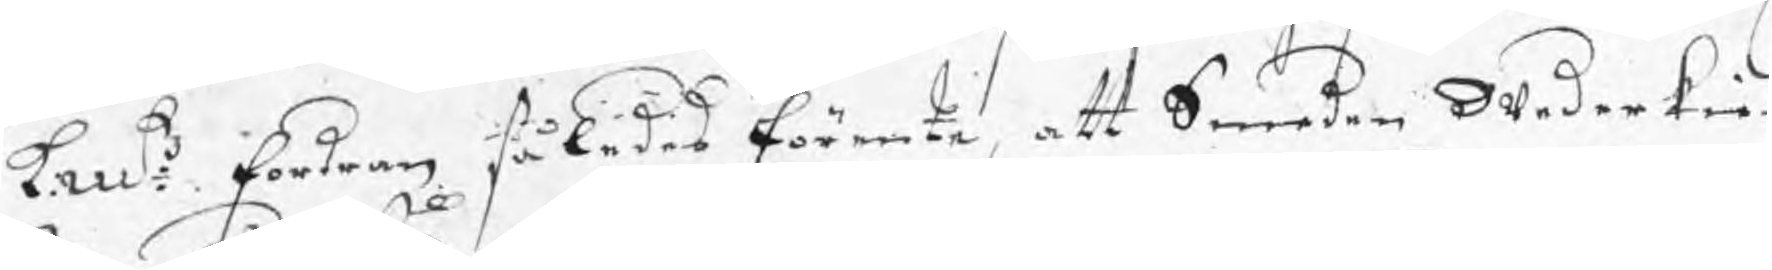kmt fordran således förenta, att Smeden wederkien
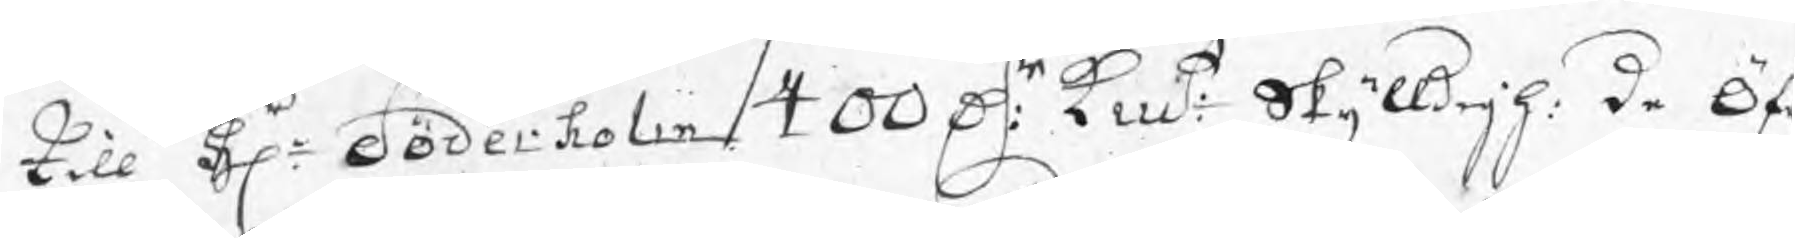till Hr: Söderholm 400 Dr: kmt Skyldigh: de Öf
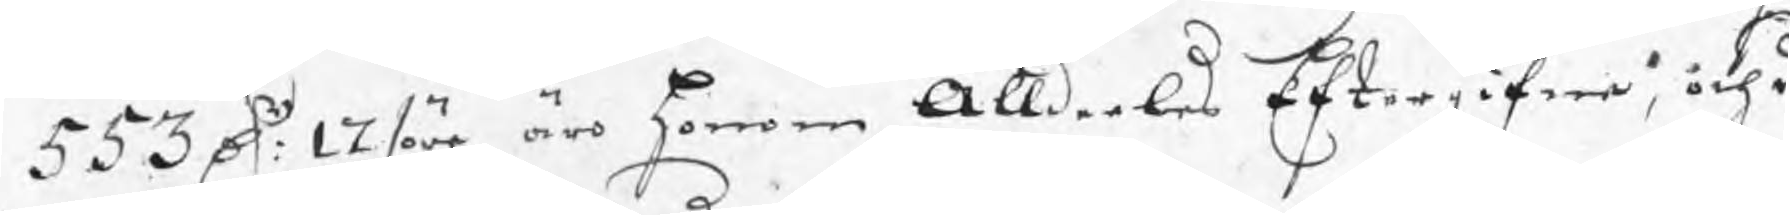553 Dr: 17 /öre äro honom Alldeles Eftergifna, och d
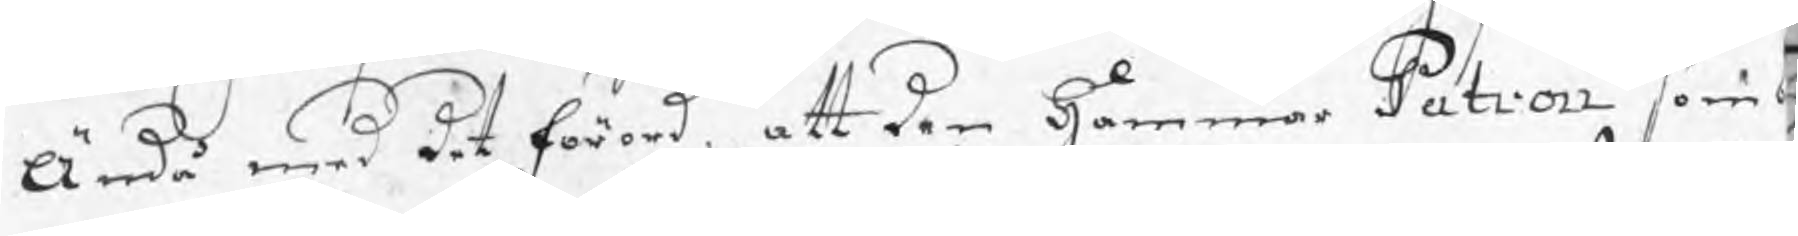Ändå med det förord, att den Hammar Patron som
